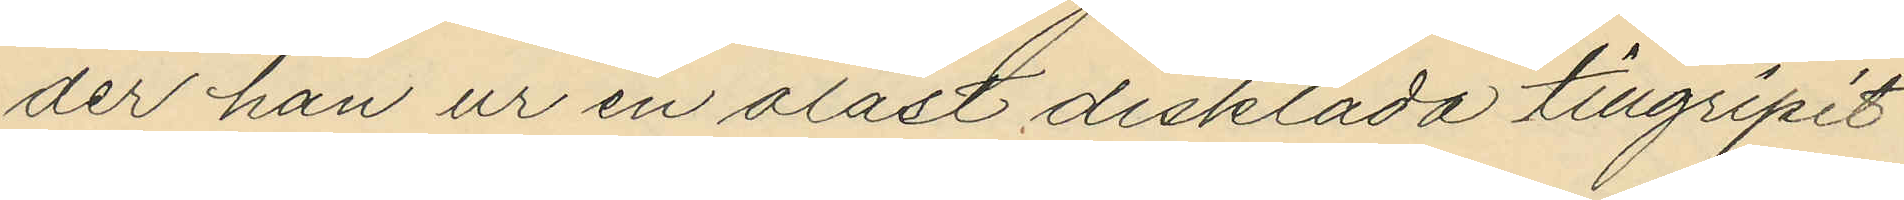der han ur en olåst disklåda tillgripit
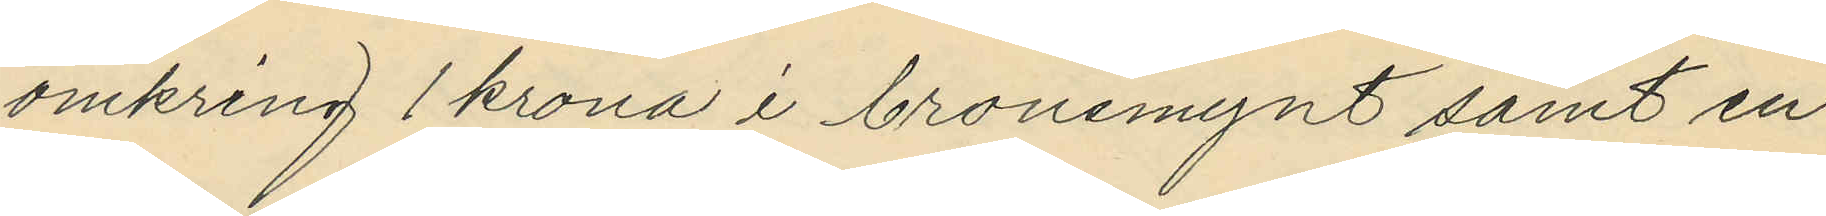omkring 1 krona i bronsmynt samt en
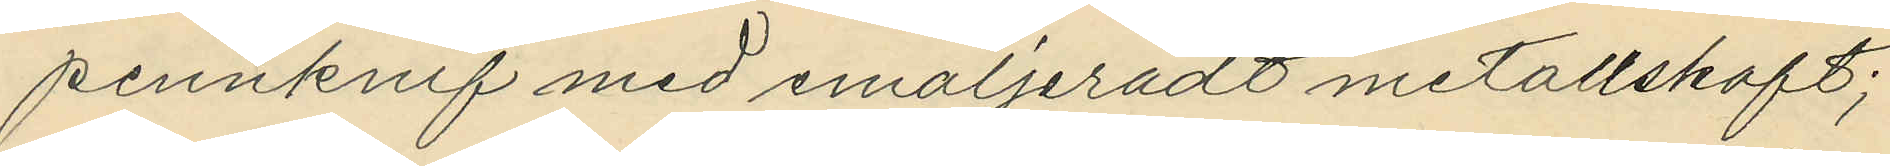pennknif med emaljeradt metallskaft;
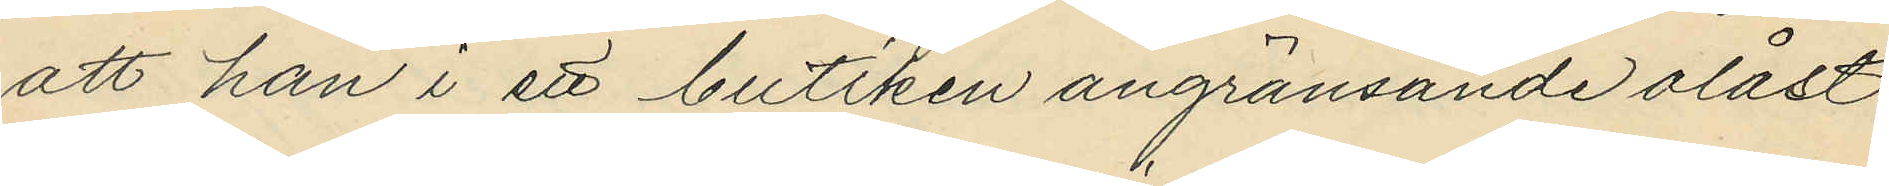att han i ett butiken angränsande olåst
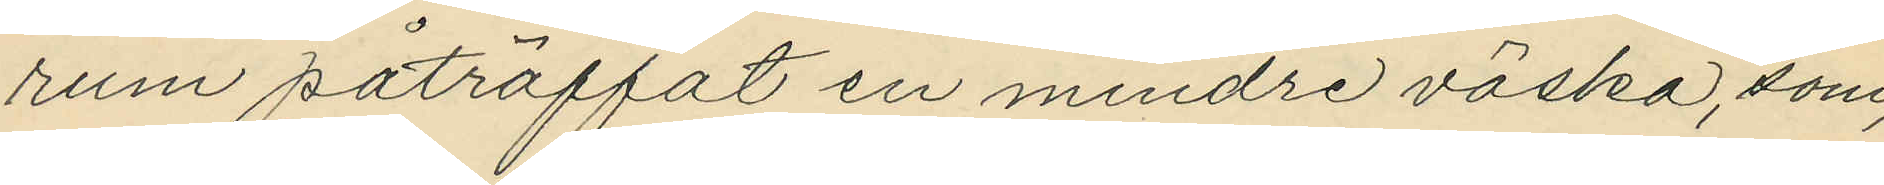rum påträffat en mindre väska, som
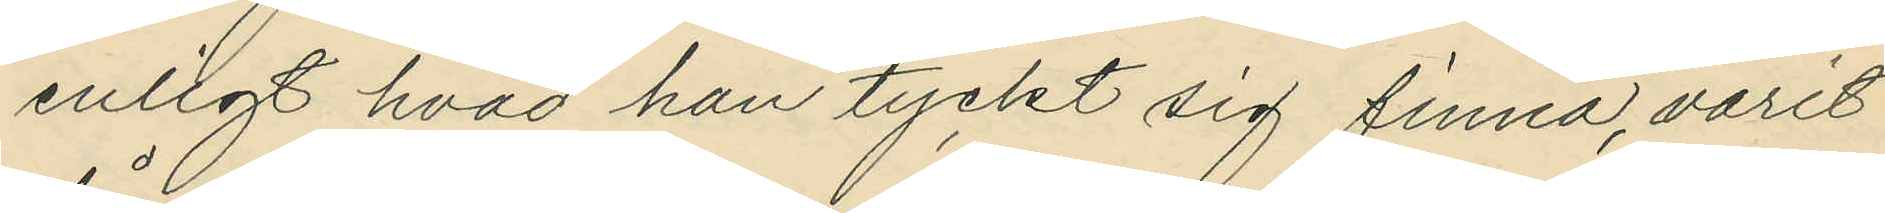enligt hvad han tyckt sig finna, varit
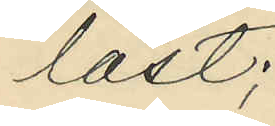låst;
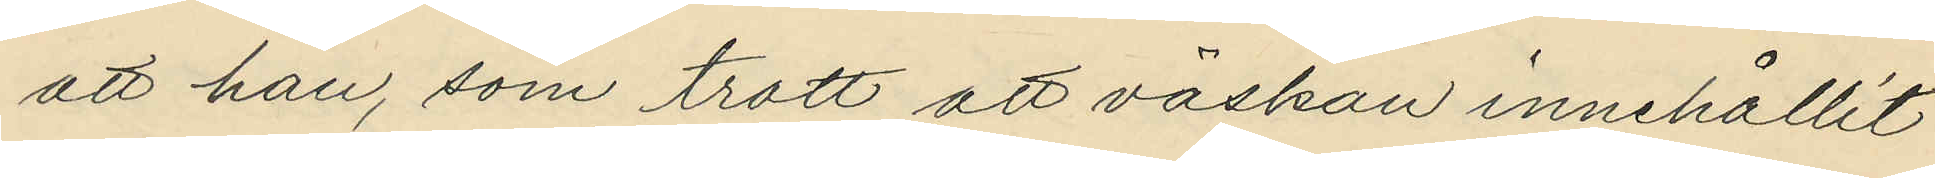att han, som trott att väskan innehållit
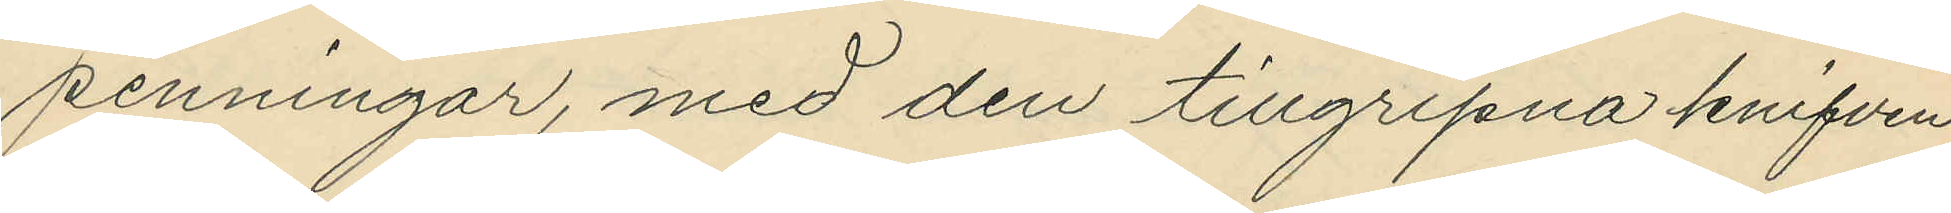penningar, med den tillgripna knifven
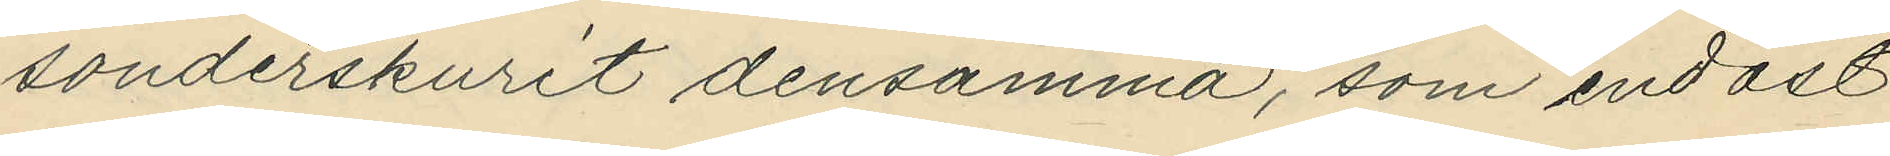sönderskurit densamma, som endast
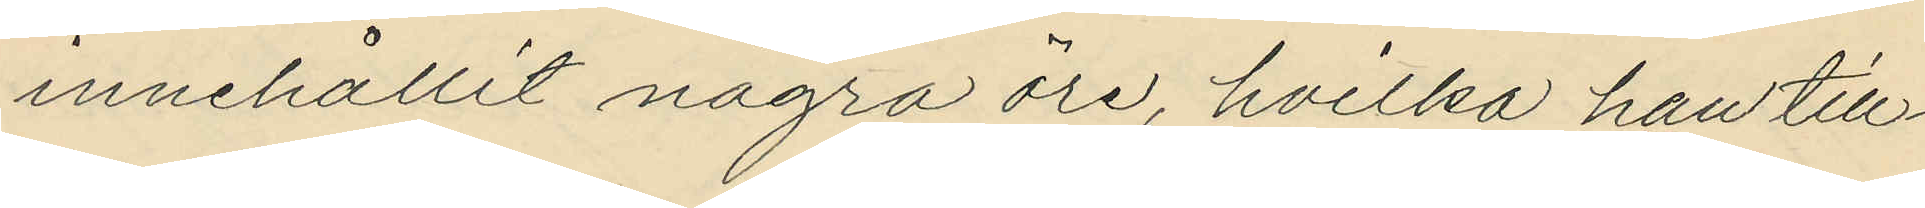innehållit några öre, hvilka han till¬
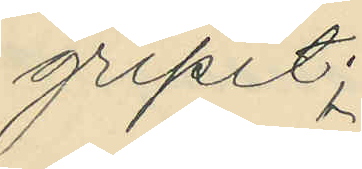gripit;
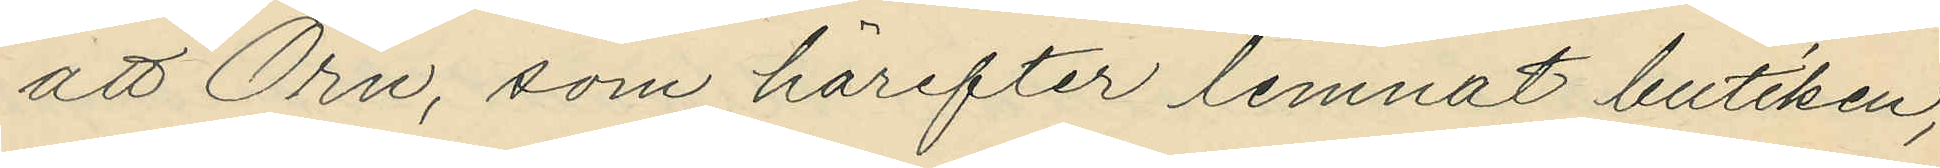att Örn, som härefter lemnat butiken,
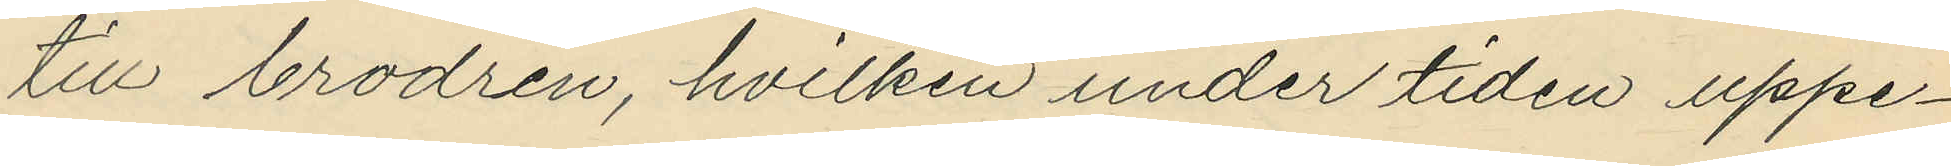till brodren, hvilken under tiden uppe¬
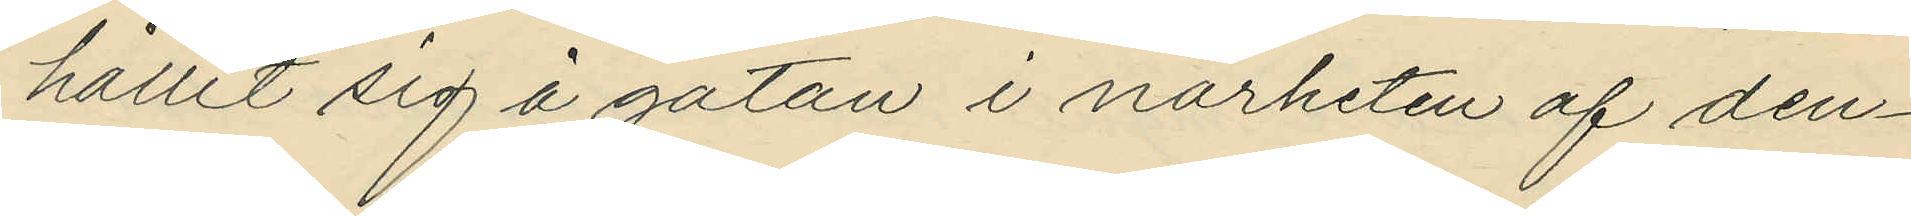hållit sig å gatan i närheten af den¬
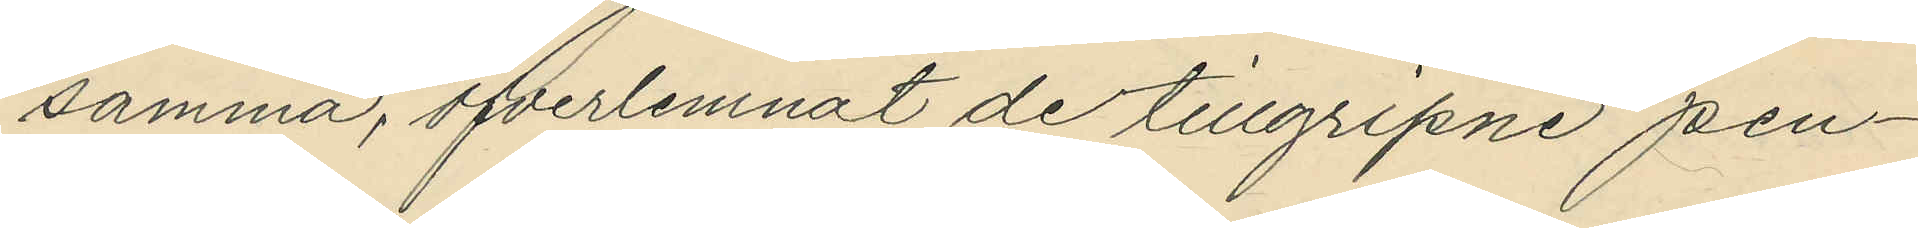samma, öfverlemnat de tillgripne pen¬
